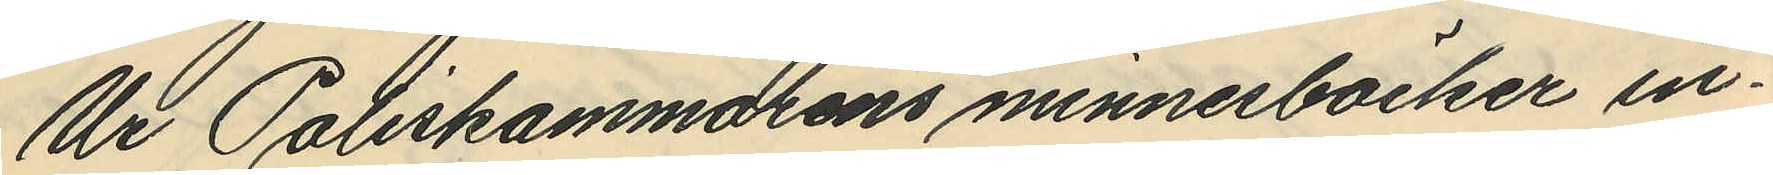Ur Poliskammarens minnesböcker in¬
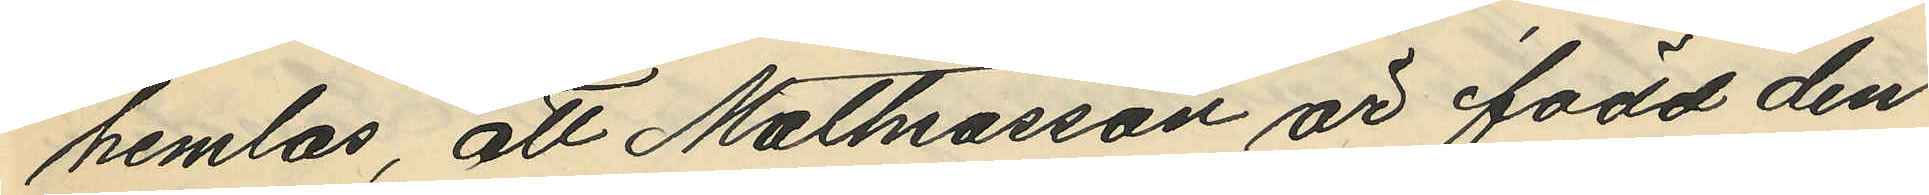hemlas, att Mathiasson är född den
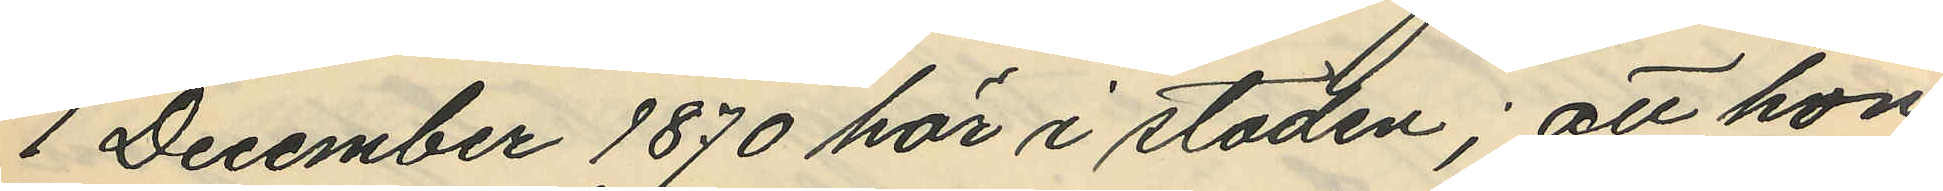1 December 1870 här i staden; att hon
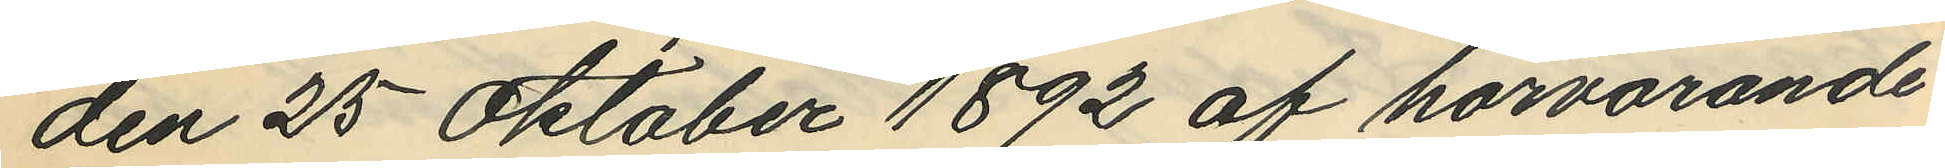den 25 Oktober 1892 af härvarande
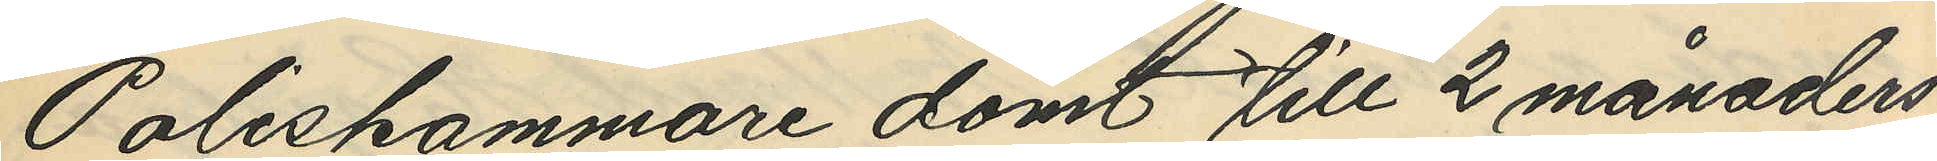Poliskammare dömt till 2 månaders
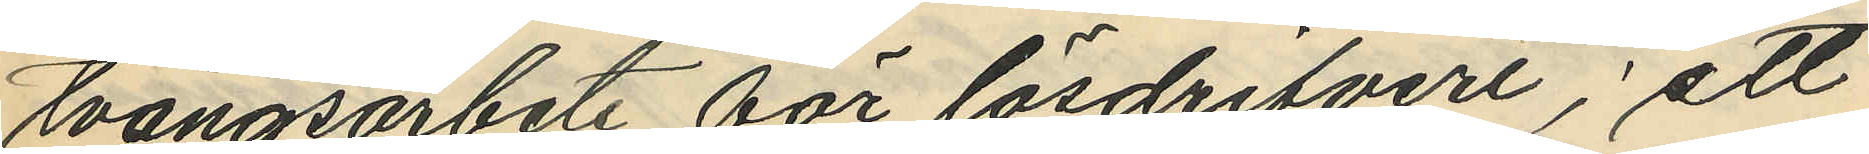tvångsarbete för lösdrifveri; att
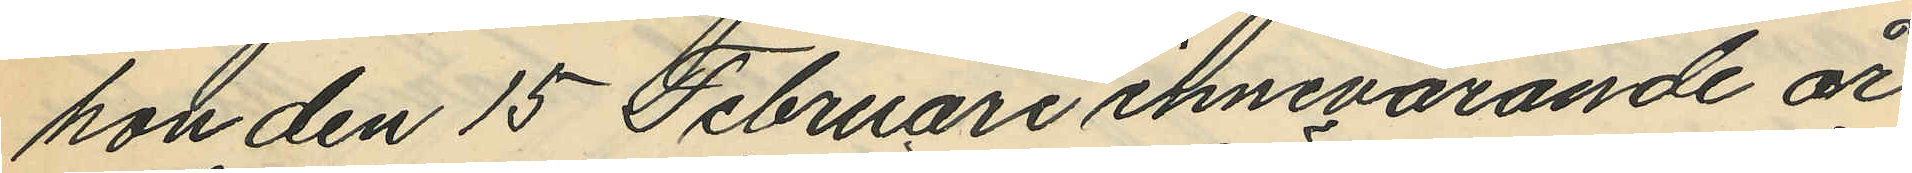hon den 15 Februari innevarande år
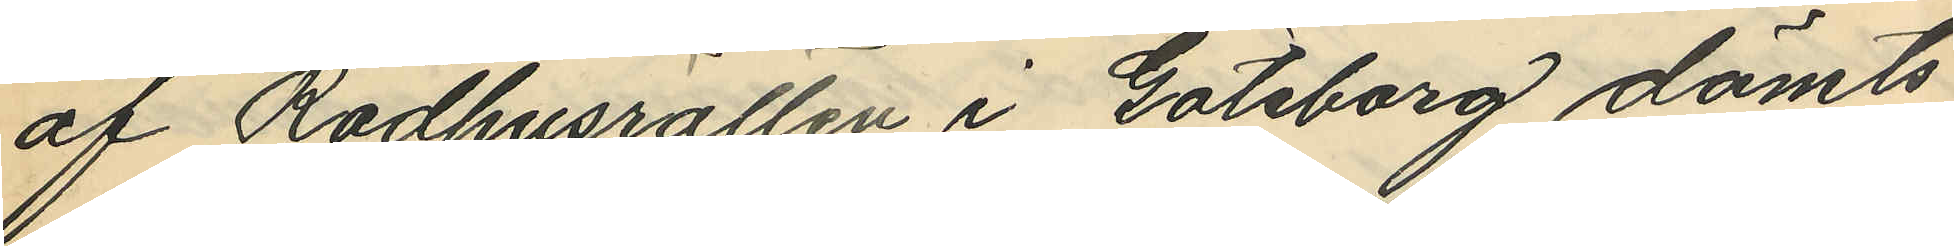af Rådhusrätten i Göteborg dömts
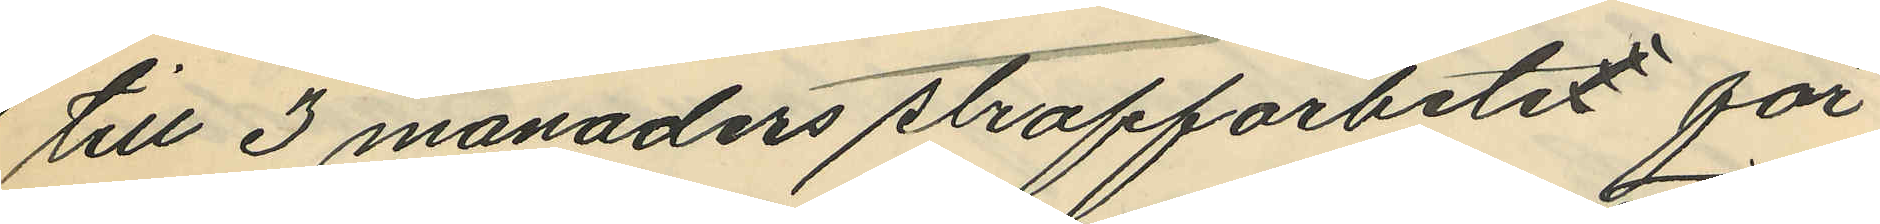till 3 månaders straffarbetet för
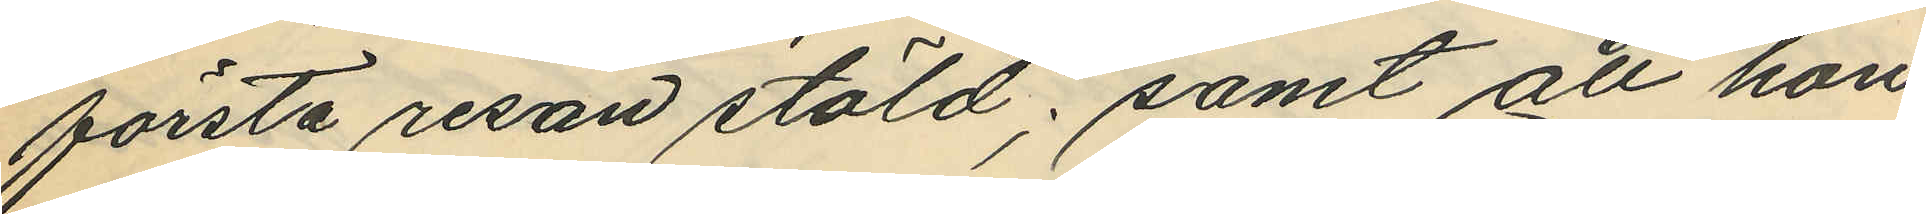första resan stöld; samt att hon
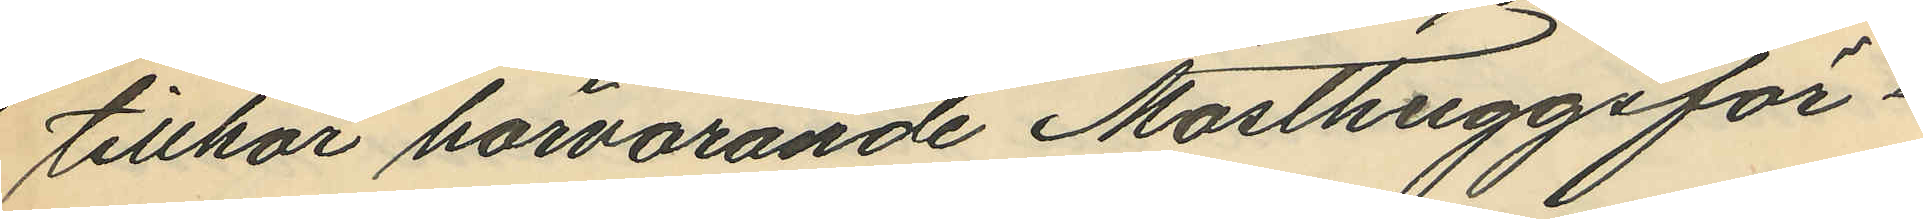tillhör härvarande Masthuggsför¬
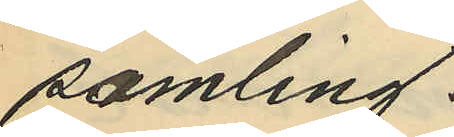samling.
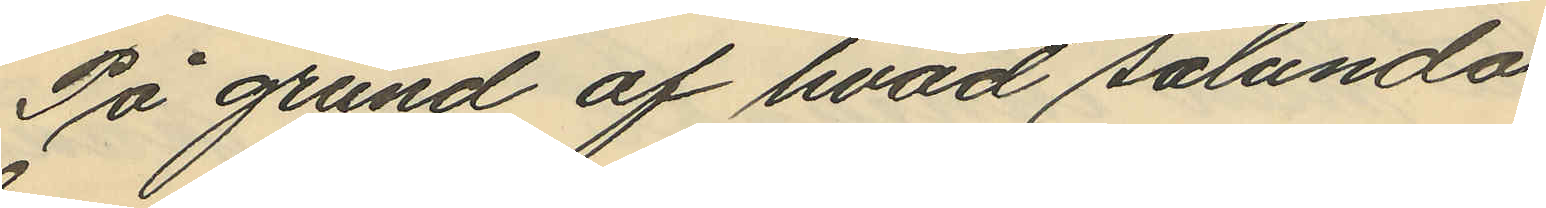På grund af hvad sålunda
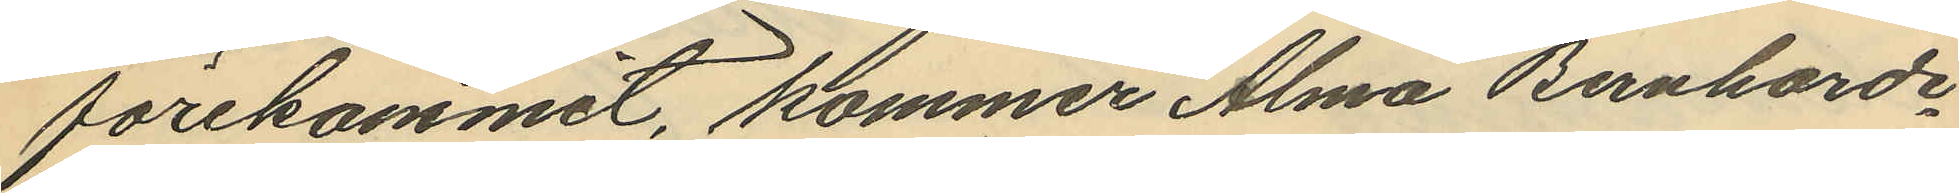förekommit, kommer Alma Bernharde¬
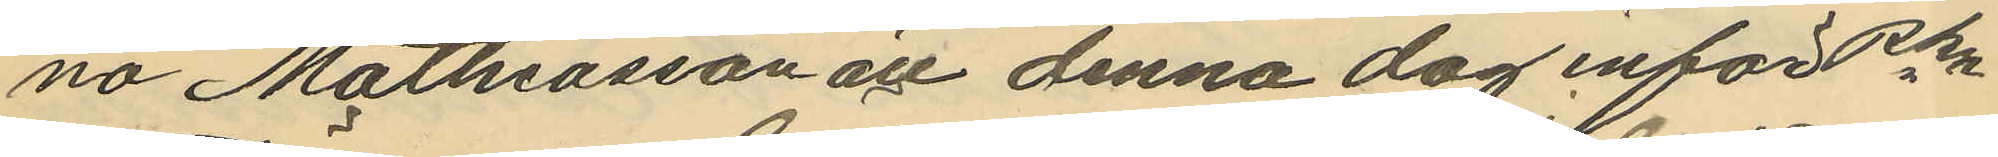na Mattriasson att denna dag inför Pkn
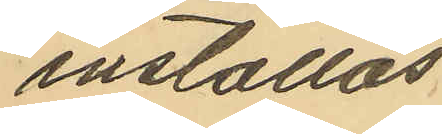inställas.
